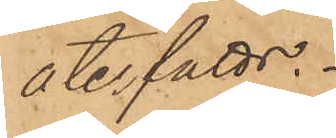återfåtts.
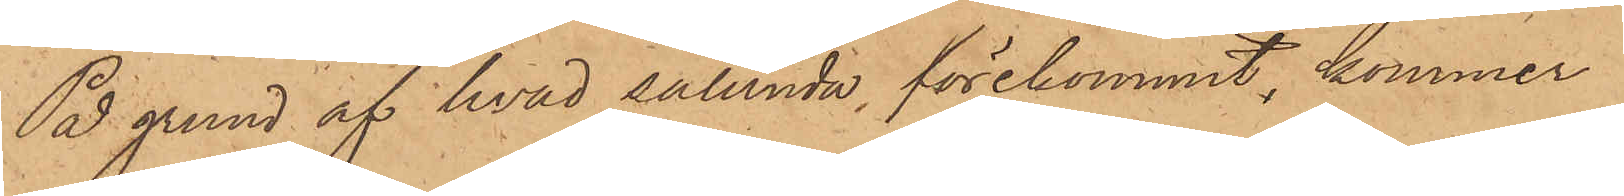På grund af hvad sålunda förekommit, kommer
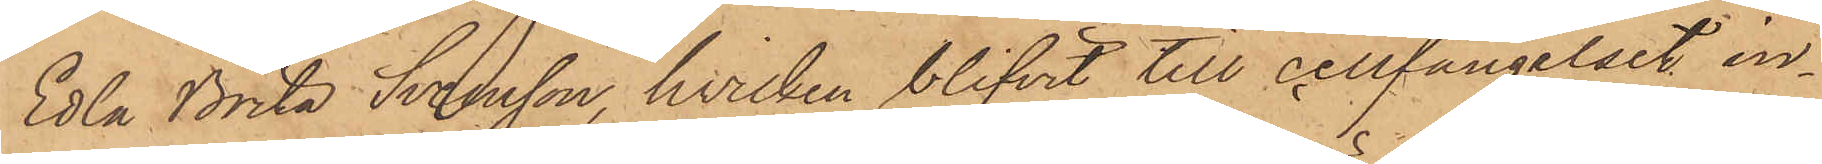Edla Brita Svensson, hvilken blifvit till cellfängelset, in¬
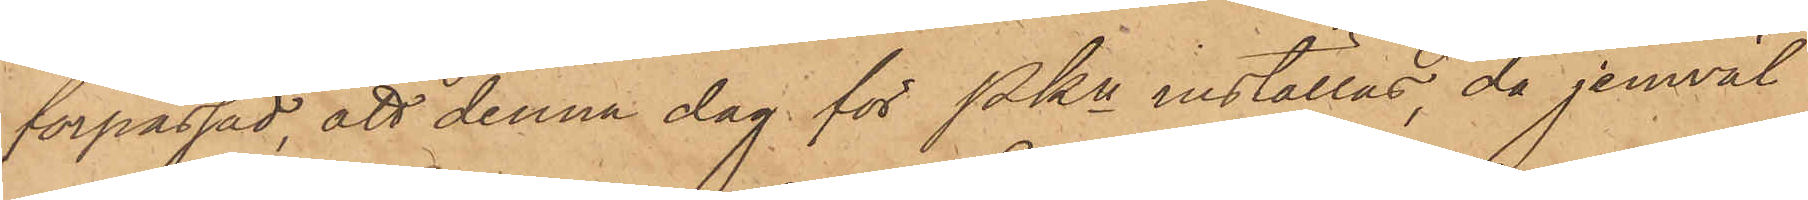förpassad, att denna dag för Pkn inställas, då jemväl
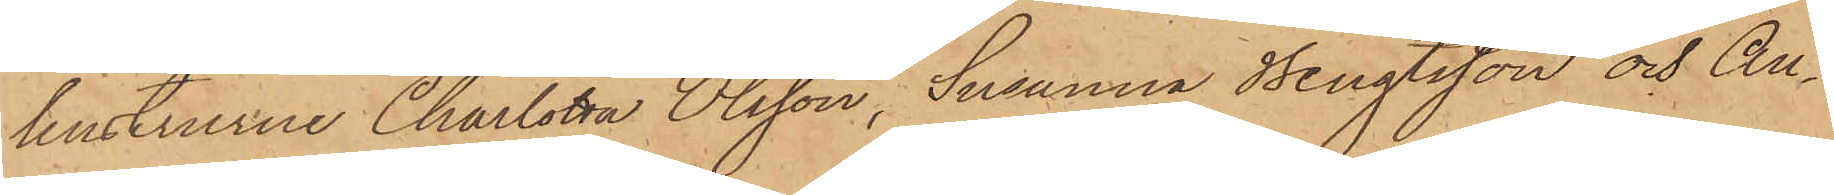hustrurne Charlotta Olsson, Susanna Bengtsson och An¬
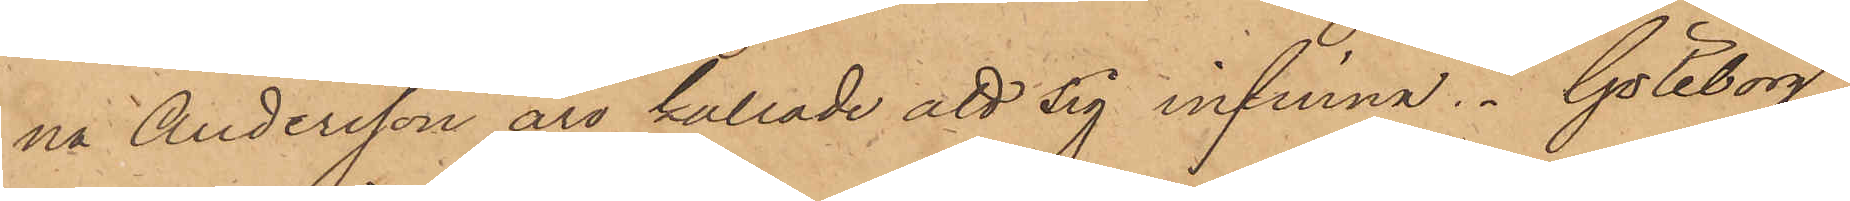na Andersson äro kallade att sig infinna. Göteborg
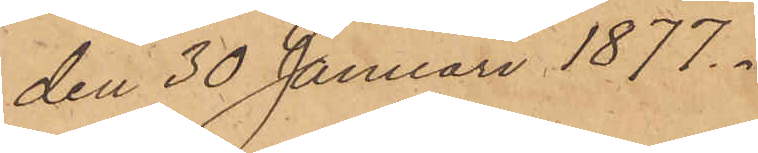den 30 Januari 1877.
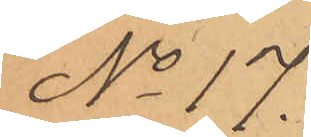No 17.
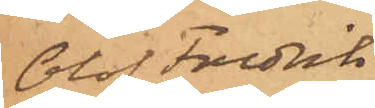Olof Fredrik
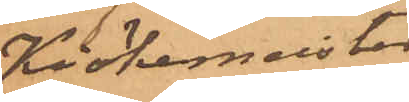Kiökemeister
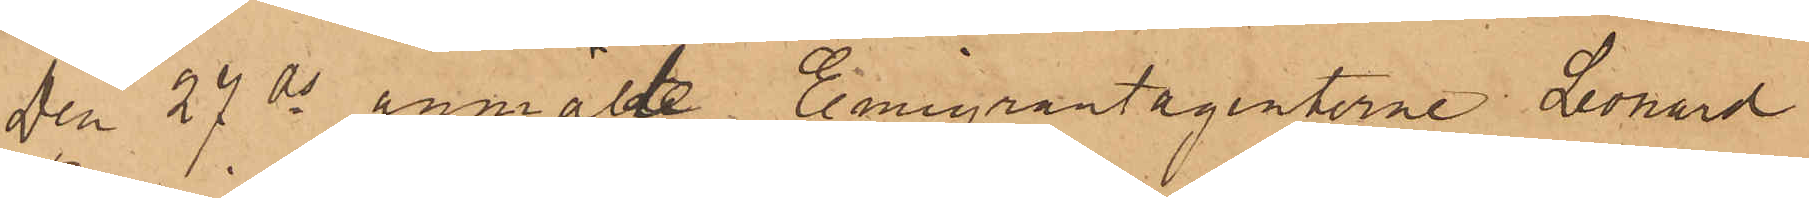den 27 ds anmälte Emigrantagenterne Leonard
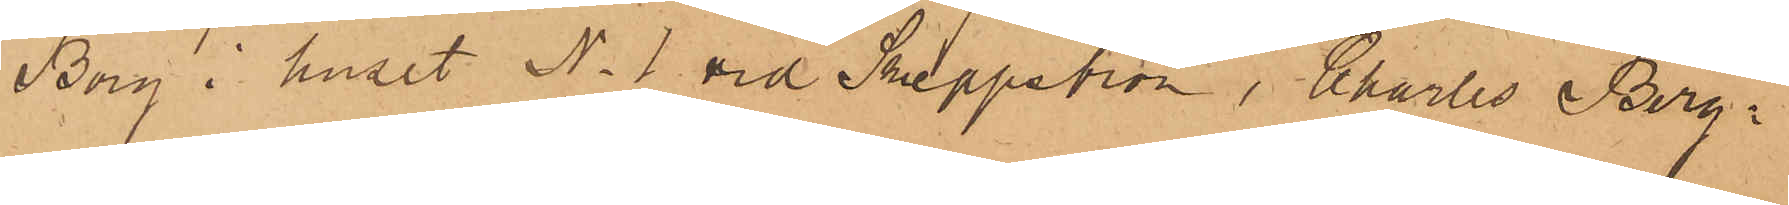Borg i huset No 1 vid Skeppsbron, Charles Berg¬
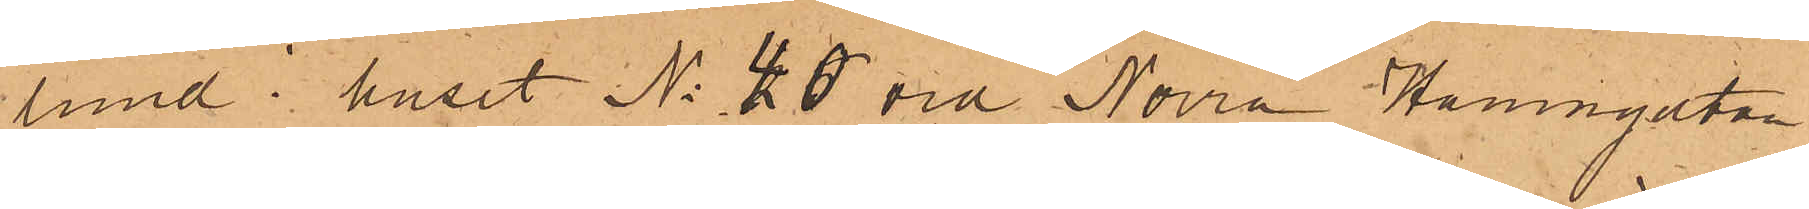lund i huset No 40 vid Norra Hamngatan
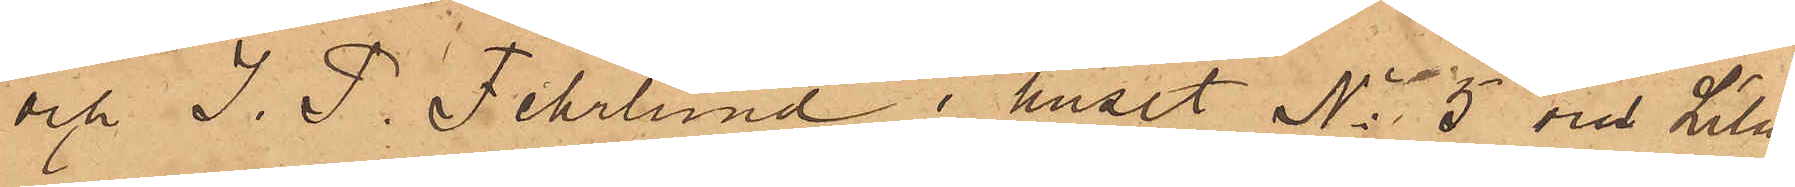och J. P. Fehrlund i huset No 5 vid Lila
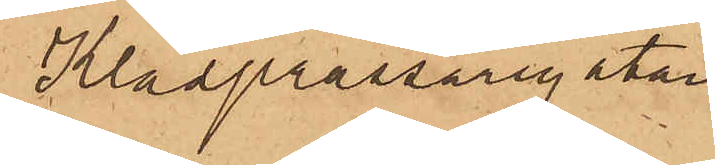Klädprässaregatan.
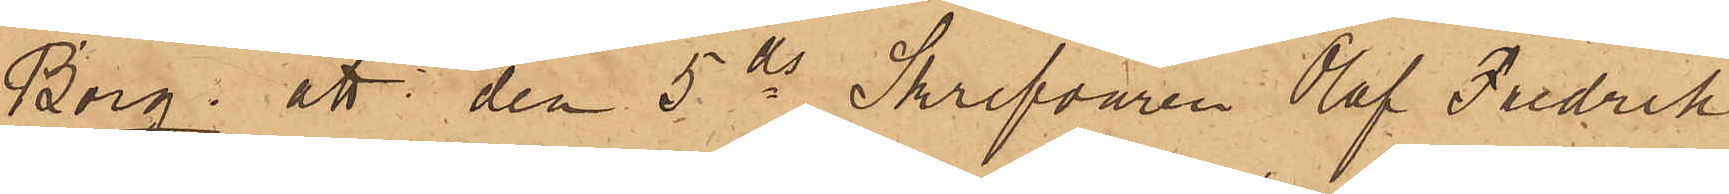Borg; att den 5 ds Skrifvaren Olof Fredrik
